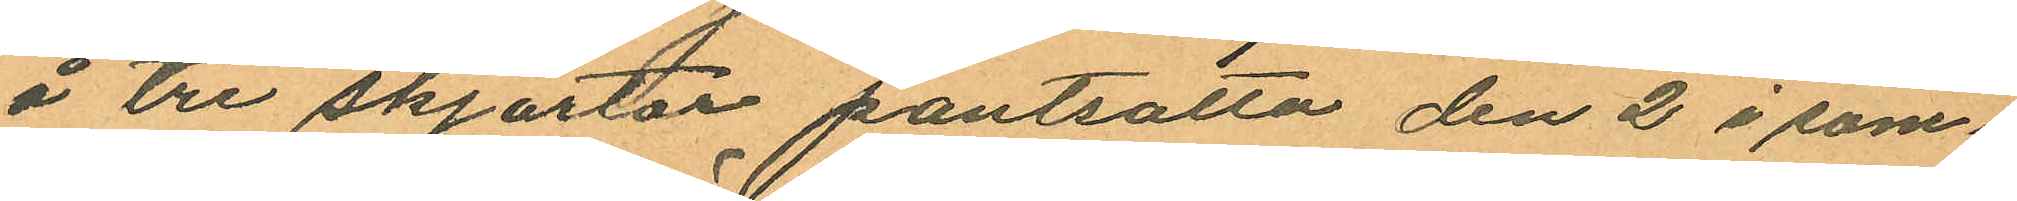å tre skjortor pantsatta den 2 i sam
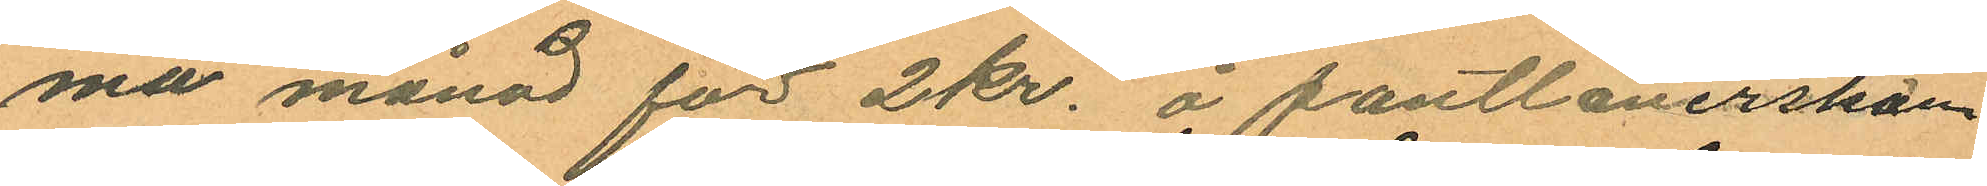ma månad för 2kr. å pantlånerskan
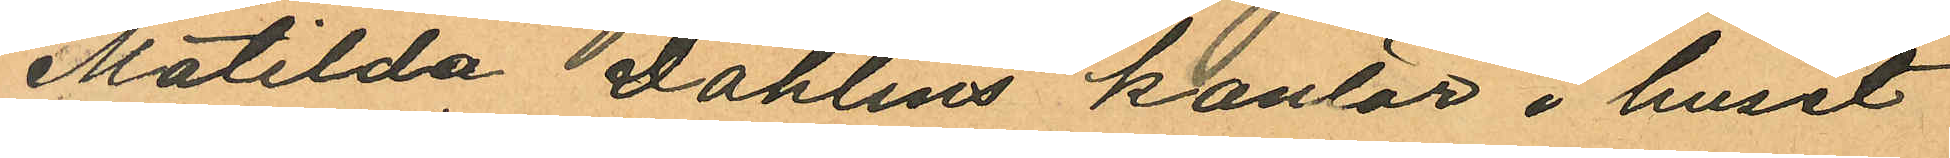Matilda Dahlins kontor i huset
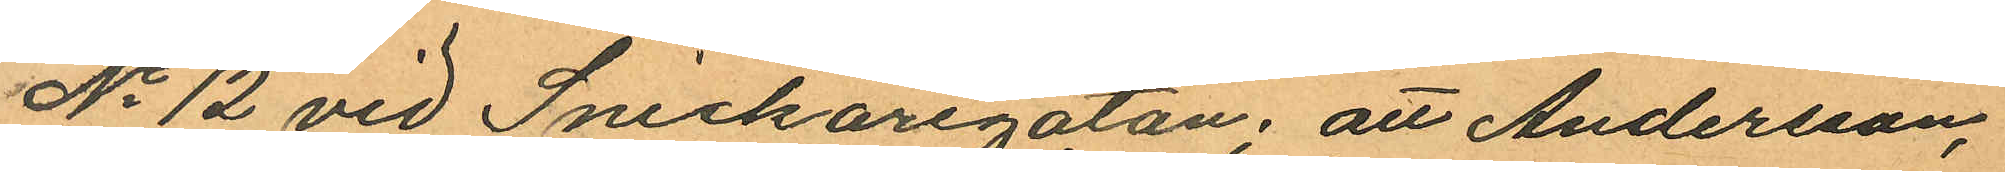No 12 vid Snickaregatan, att Andersson,
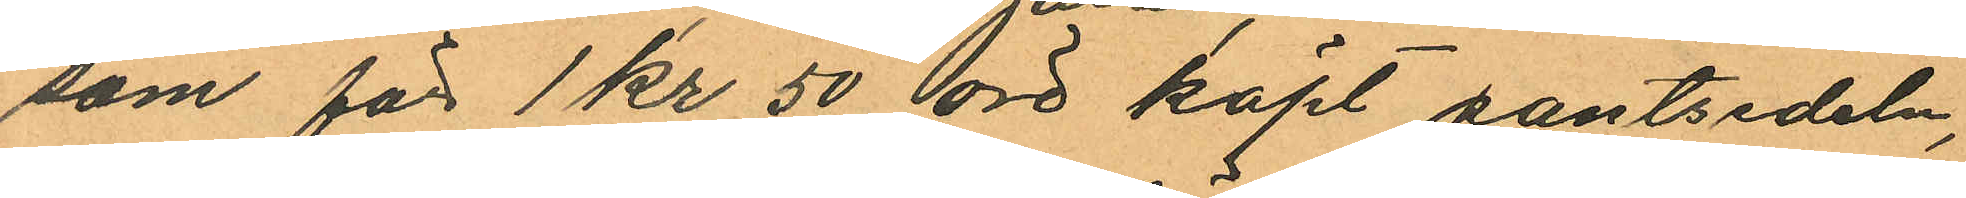som för 1 kr 50 öre köpt pantsedeln,
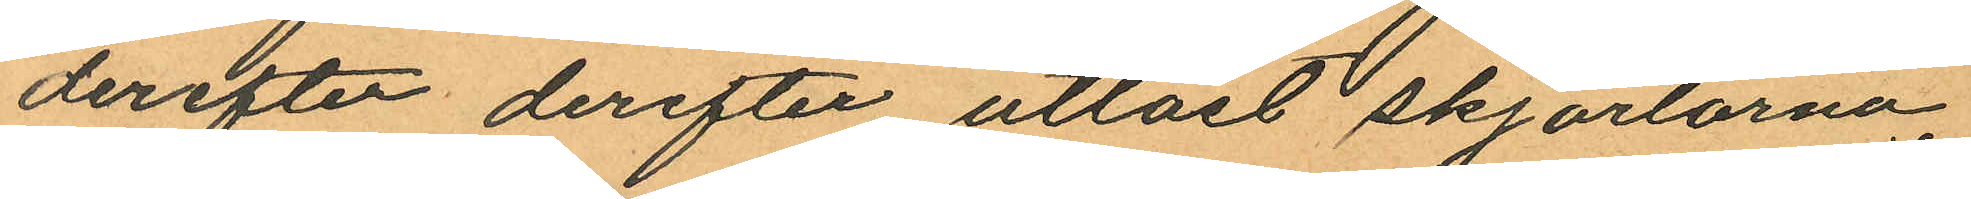derefter derefter utlöst skjortorna,
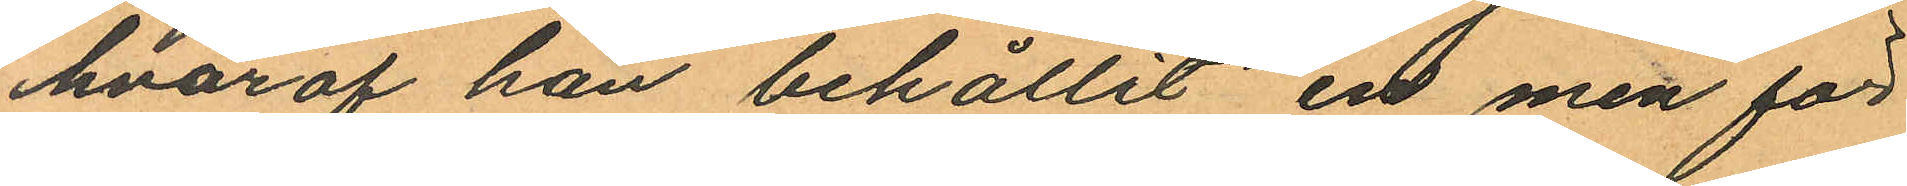hvaraf han behållit en men för
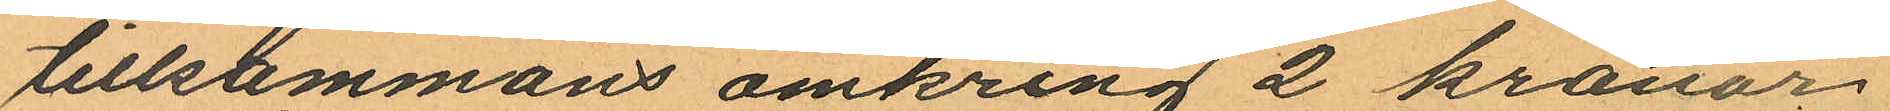tillsammans omkring 2 kronor
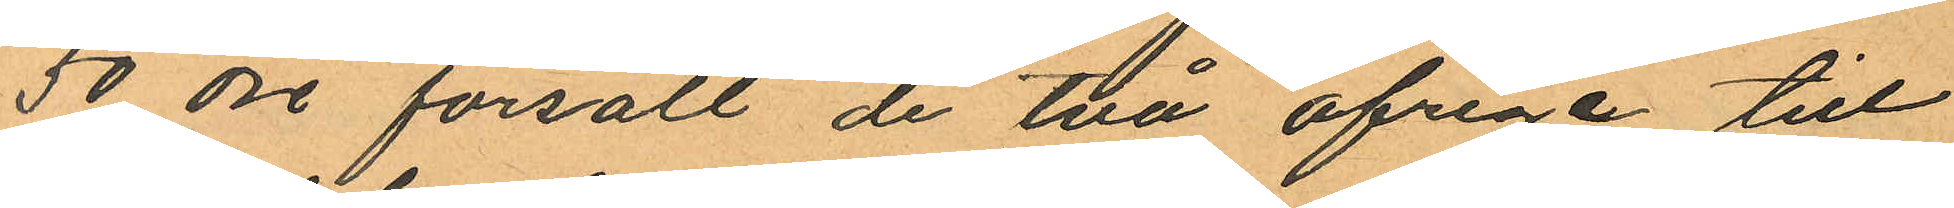50 öre försålt de två öfriga till
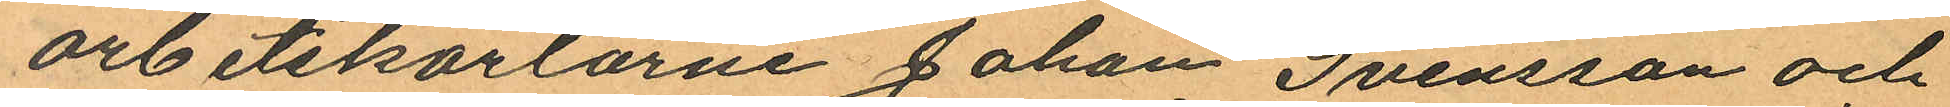arbetskarlarne Johan Svensson och
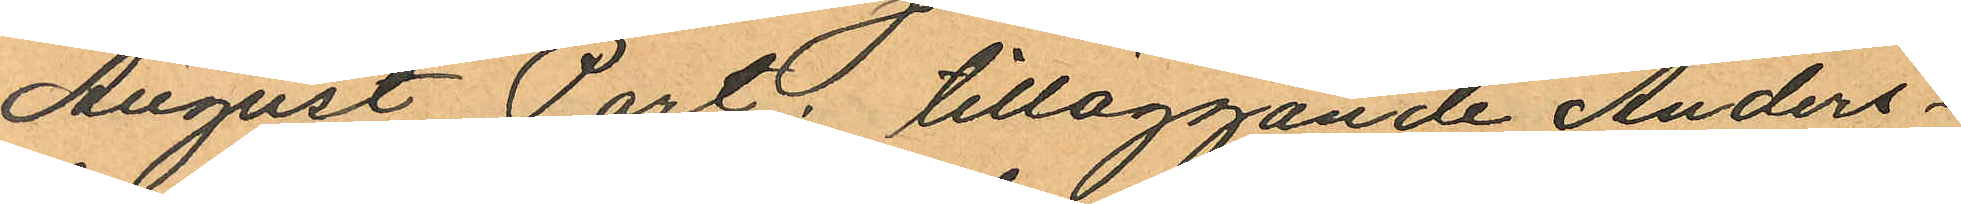August Port; tilläggande Anders¬
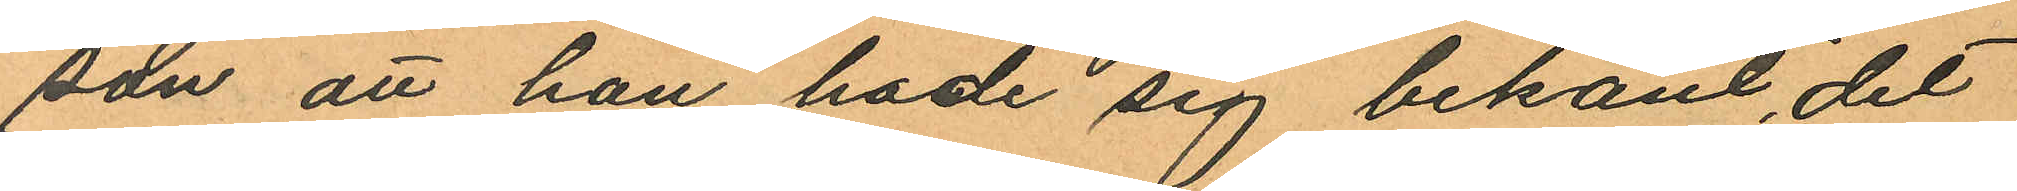son att han hade sig bekant, det
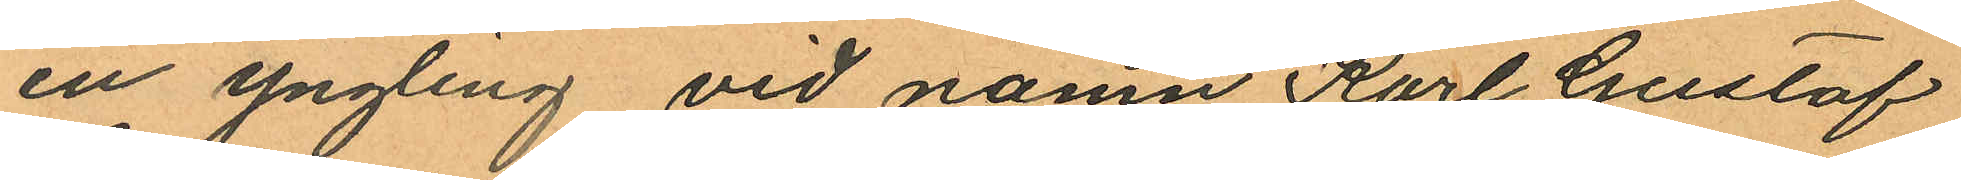en yngling vid namn Karl Gustaf
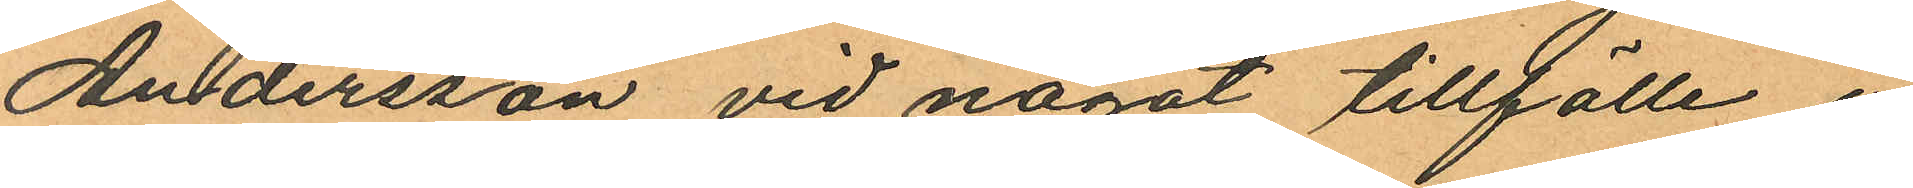Andersson vid något tillfälle i
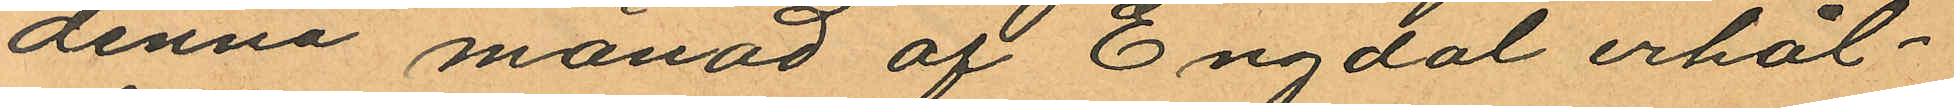denna månad af Engdal erhål¬
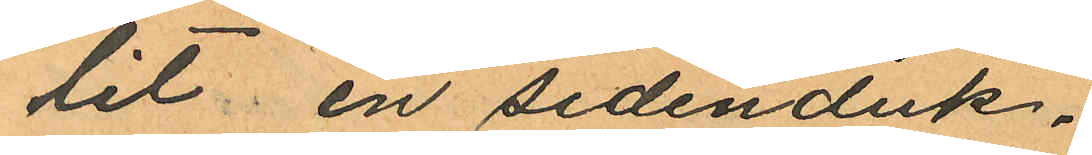lit en sidenduk,
